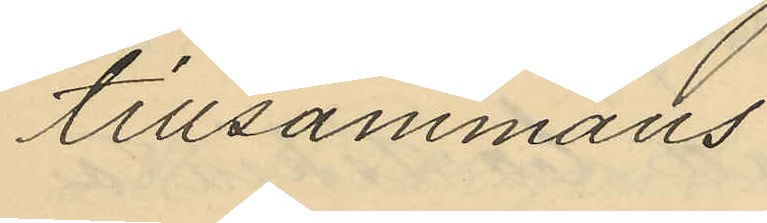tillsammans
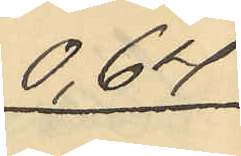0,64.
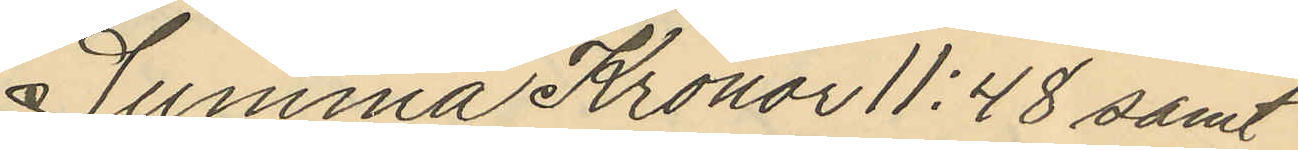Summa Kronor 11:48 samt
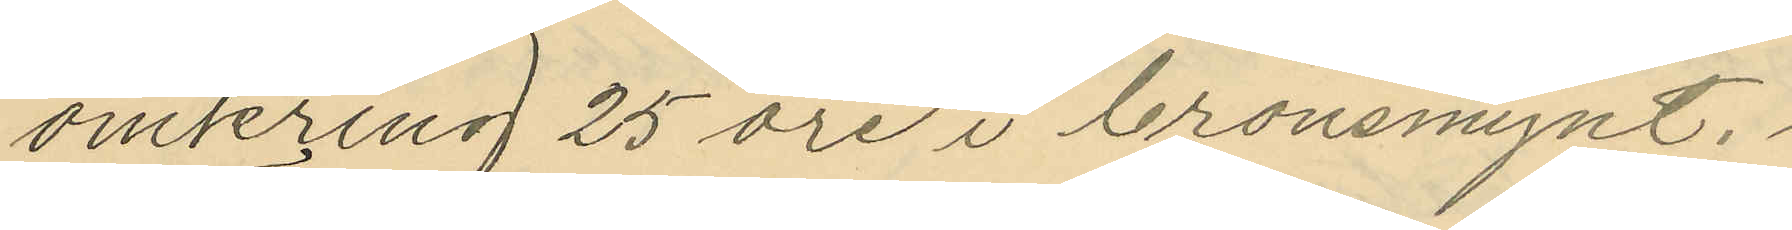omkring 25 öre i bronsmynt.
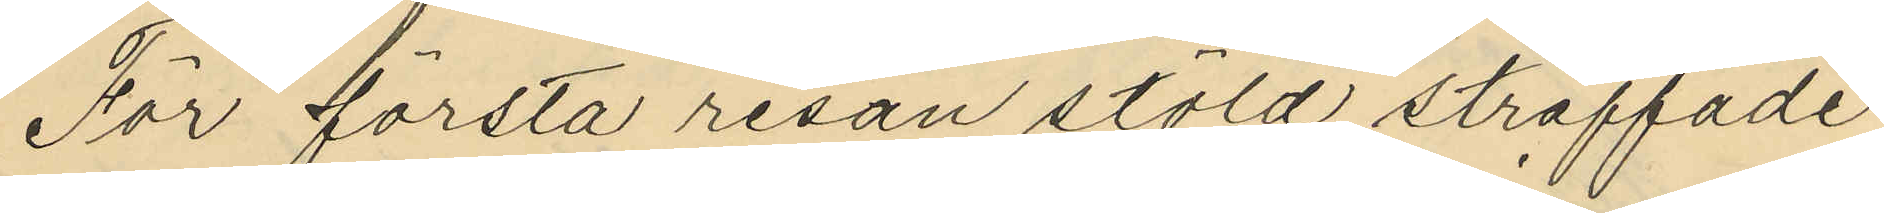För första resan stöld straffade
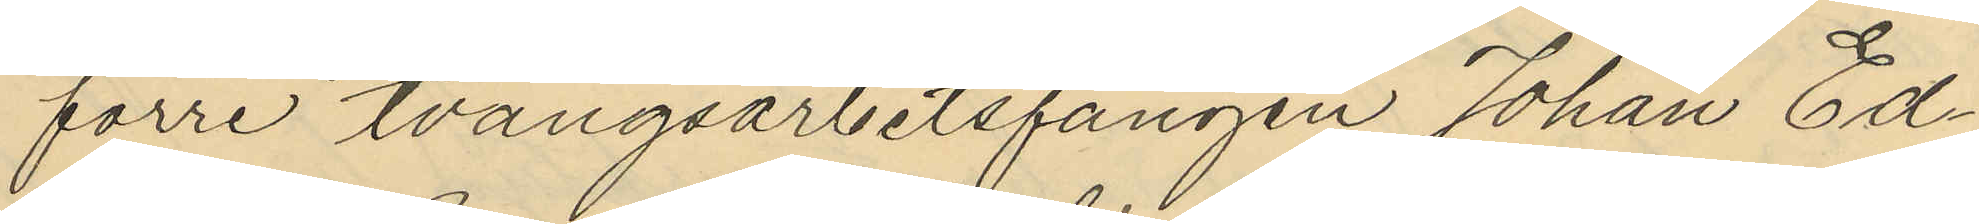förre tvångsarbetsfången Johan Ed¬
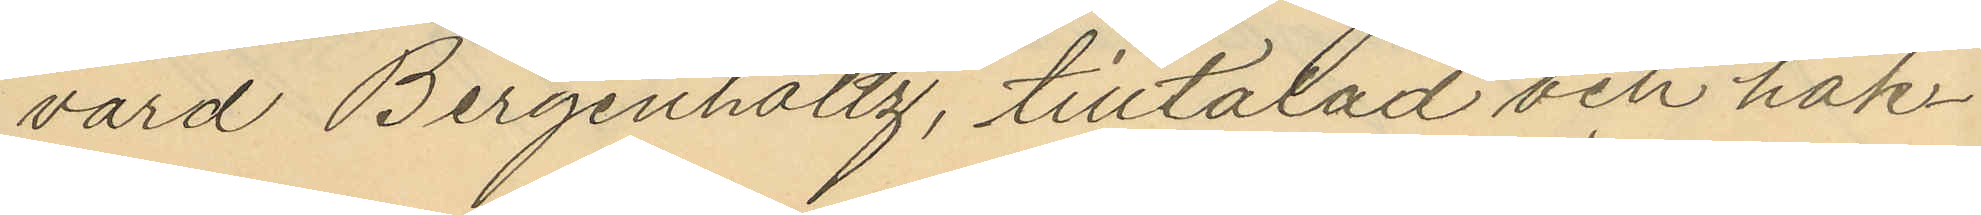värd Bergenholtz, tilltalad och häk¬
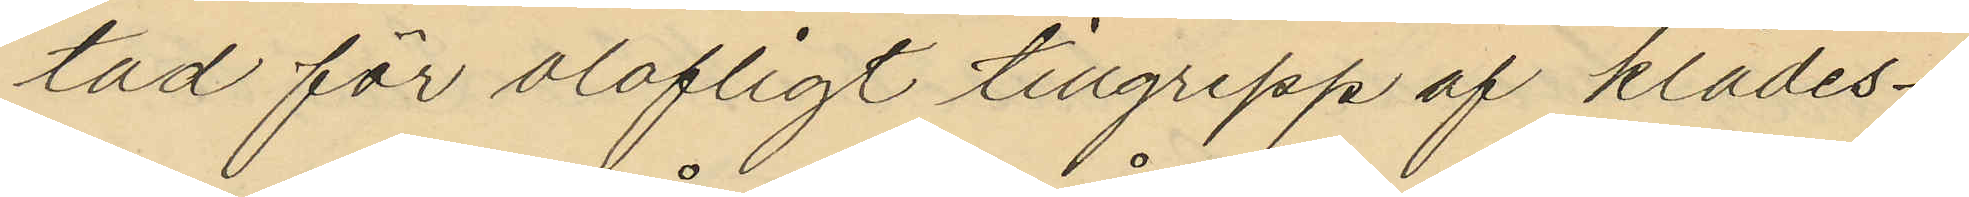tad för olofligt tillgrepp af klädes¬
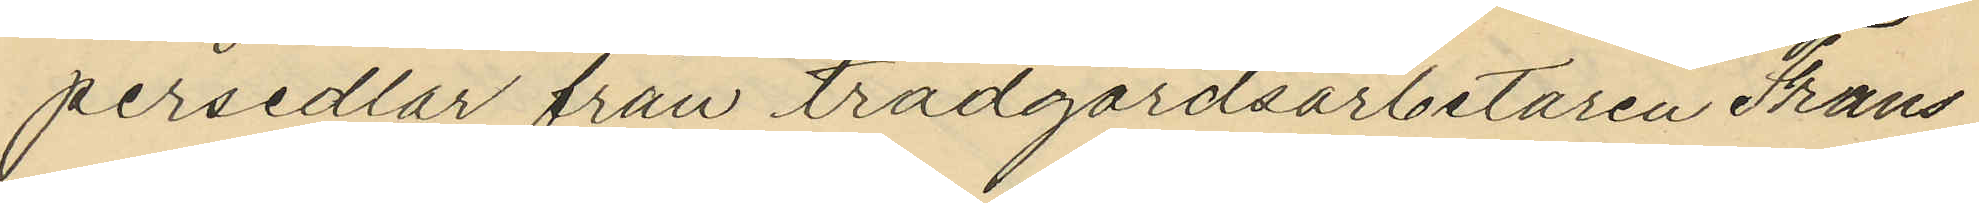persedlar från trädgårdsarbetaren Frans
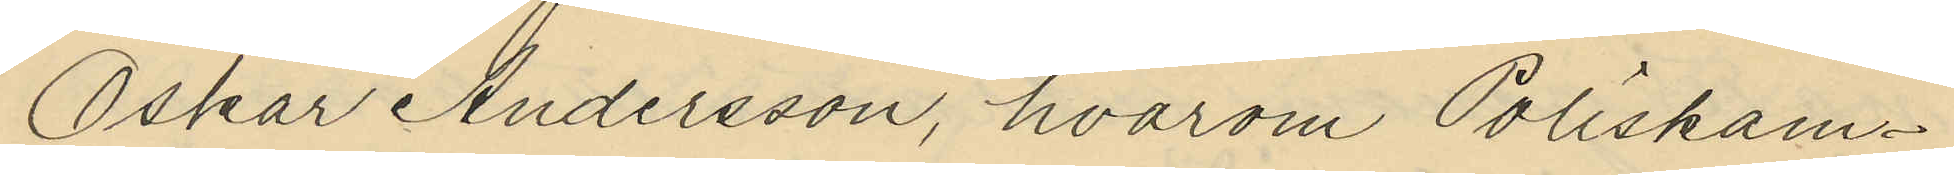Oskar Andersson, hvarom Poliskam¬
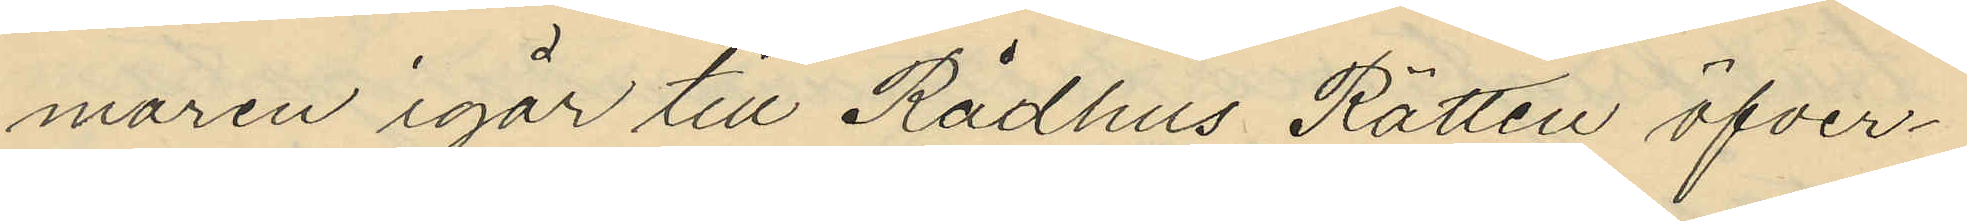maren igår till Rådhus Rätten öfver¬
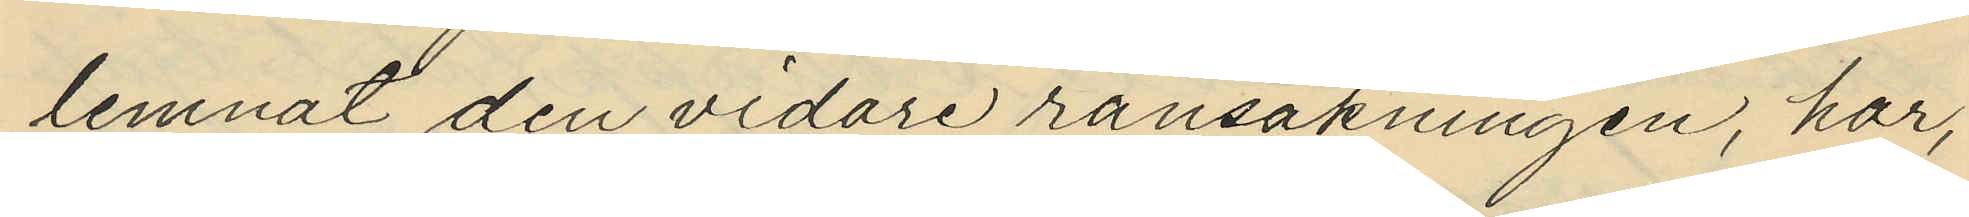lemnat den vidare ransakningen, har,
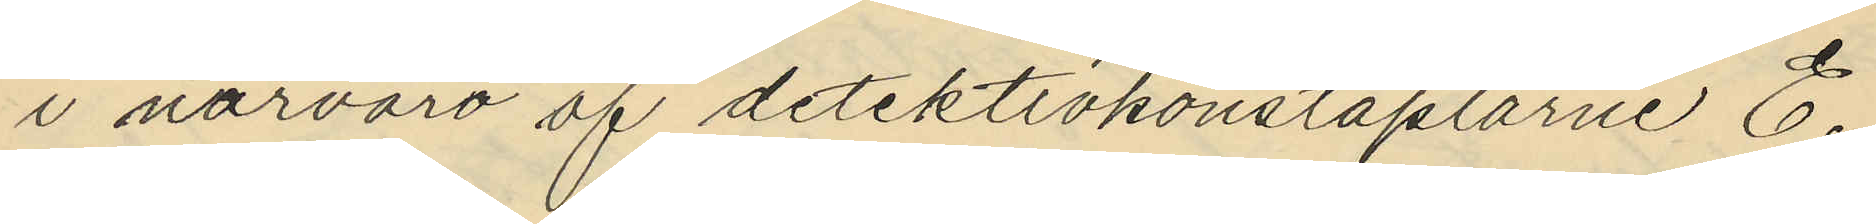i närvaro af detektivkonstaplarne E.
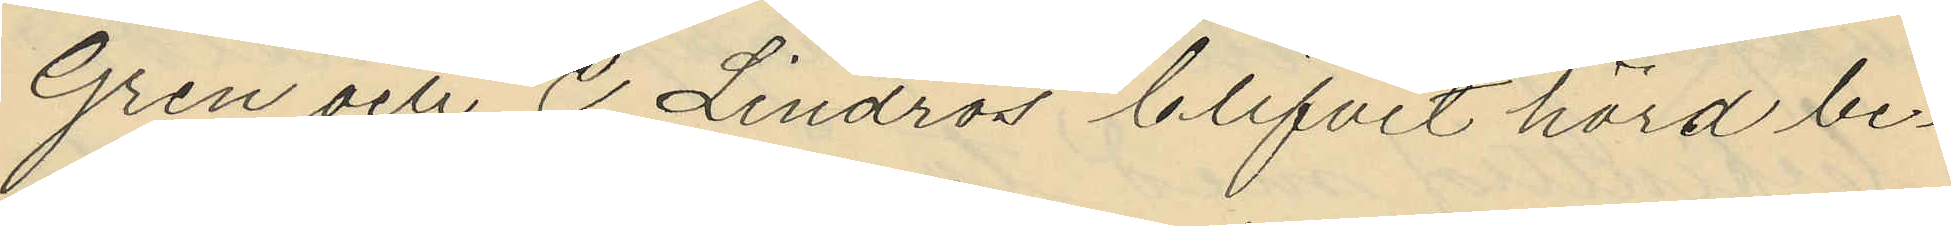Gren och C. Lindros blifvit hörd be¬
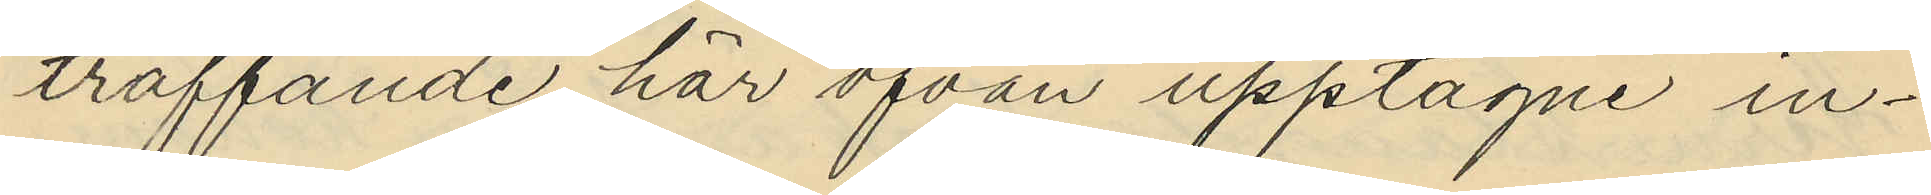träffande här ofvan upptagne in¬
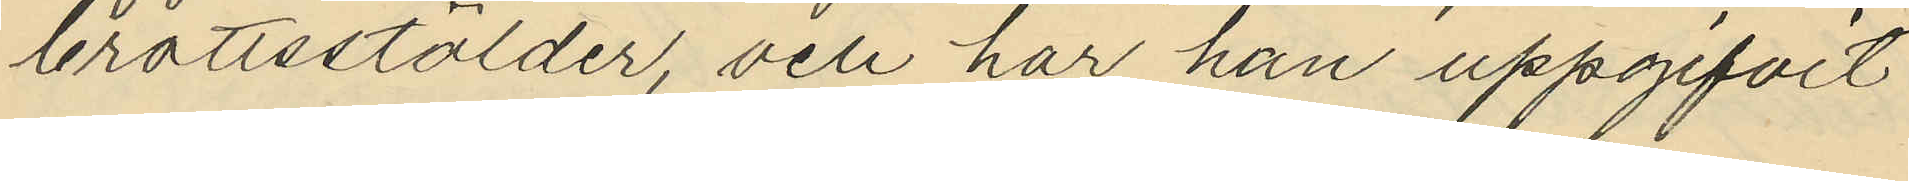brottsstölder, och har han uppgifvit
